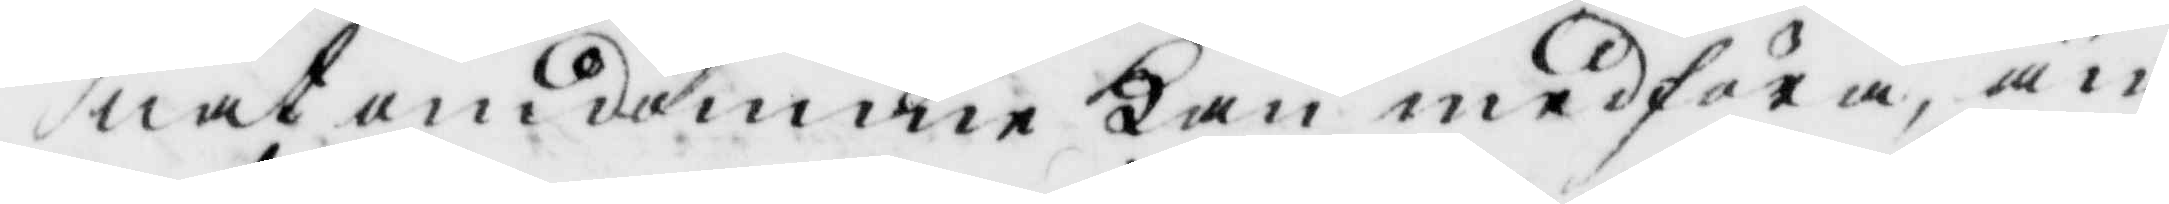nat omdömme kan medföra, än
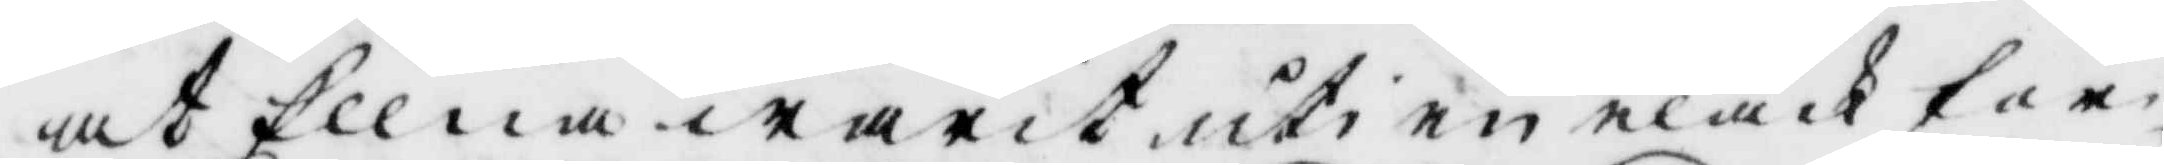at Ellna warit uti en elak för¬
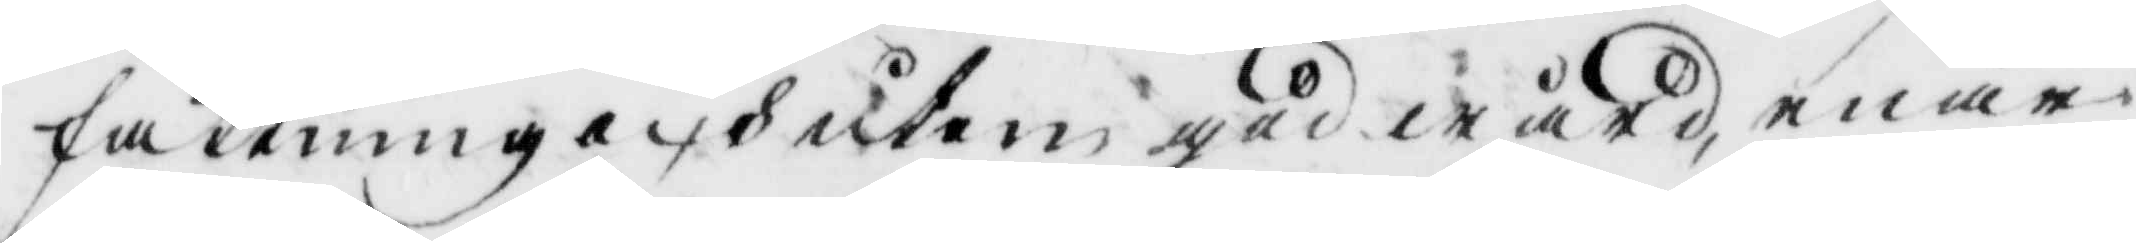fattning och utan gåd wård, enär
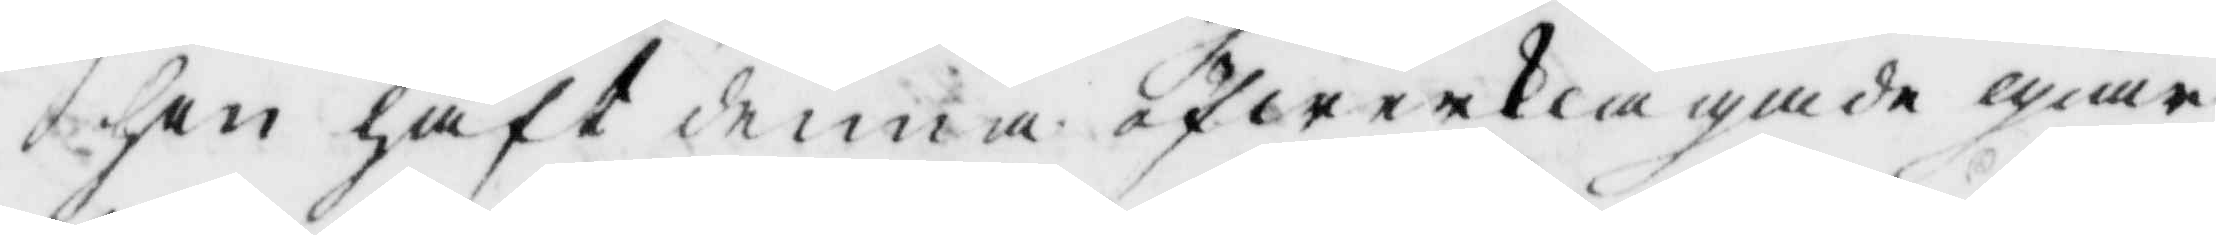hon haft denna öfwerklagade giär¬
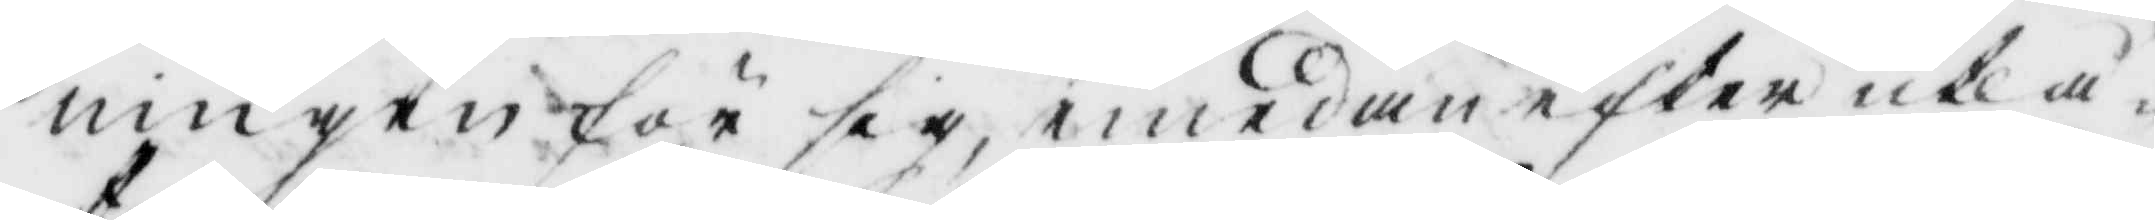ningen för sig, emedan efter utlå¬
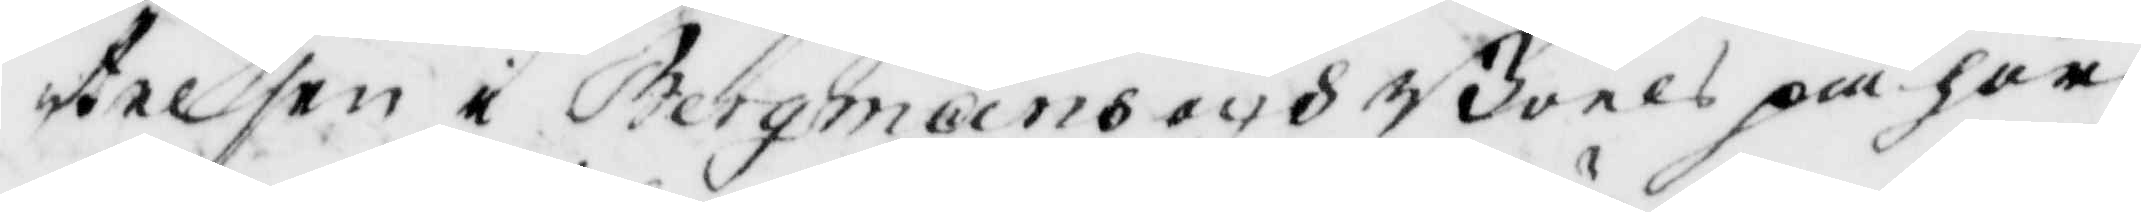telsen i Bergmans och Boels på hör
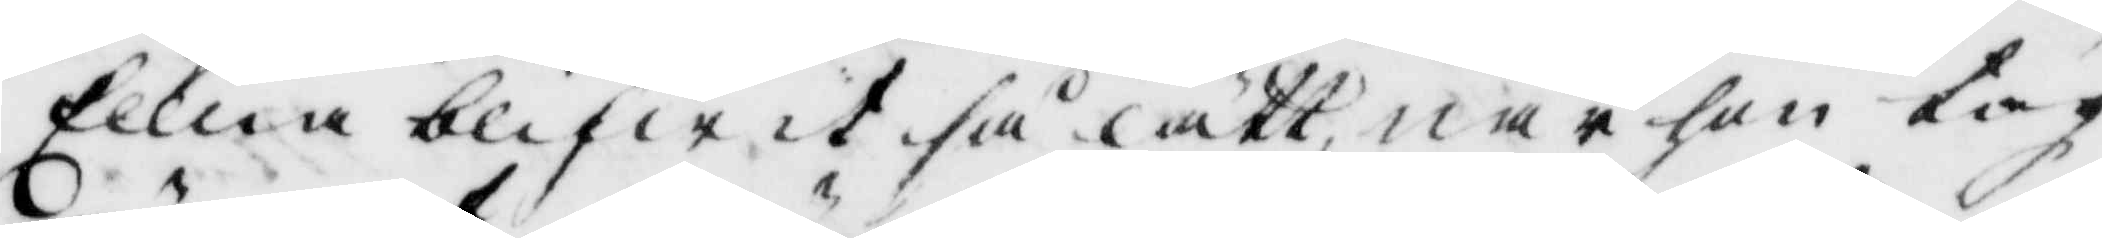Ellna blifwit så lätt när hon tog
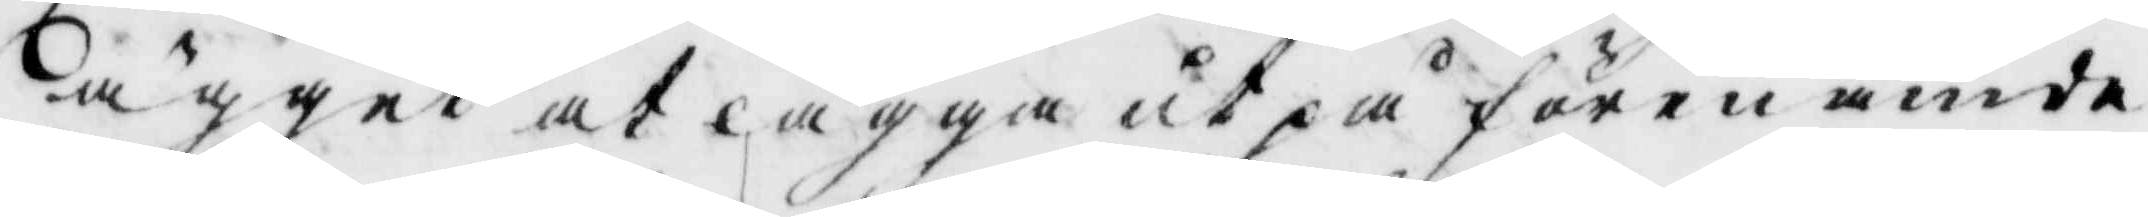ägget at lägga ut på förenämde
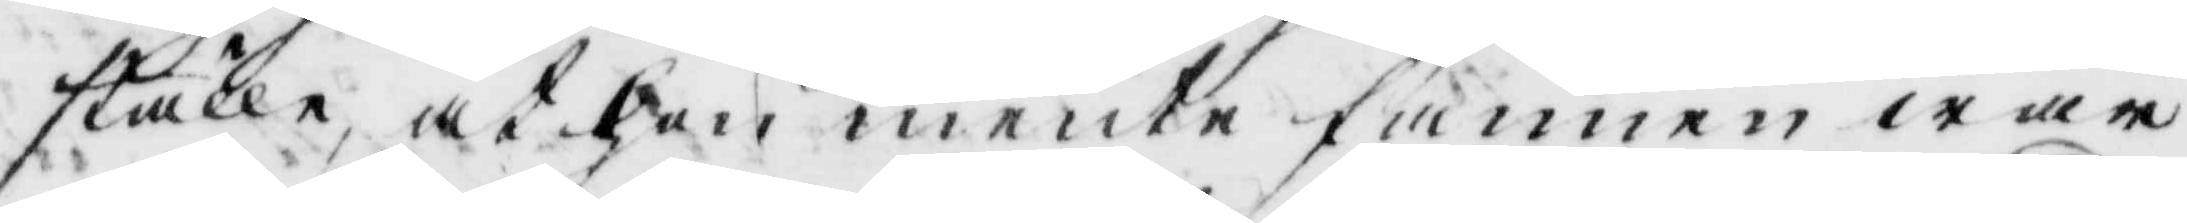ställe, at hon mente fannen war
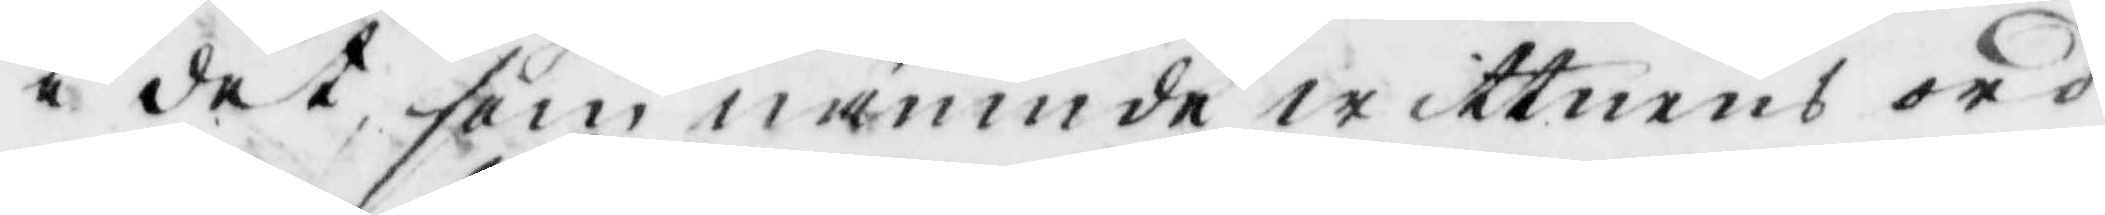i det som nämnde wittnens ord
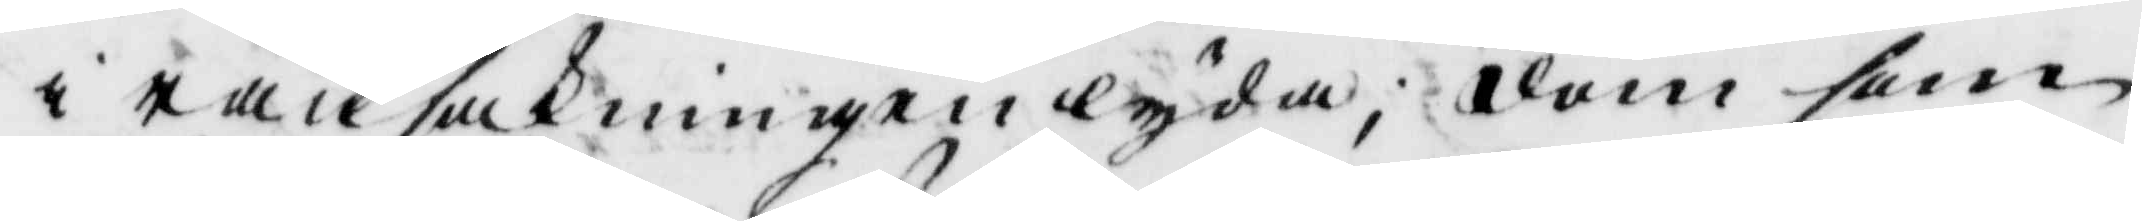i ransakningen lyda; dom som
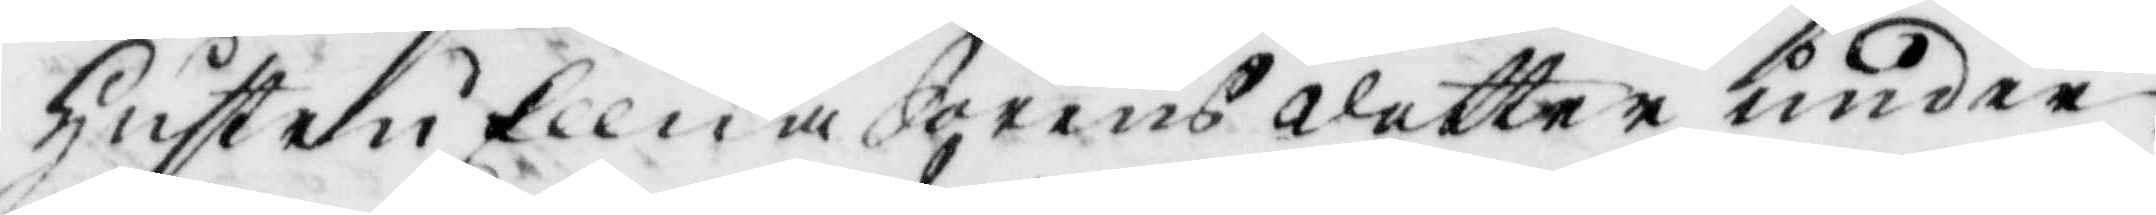hustru Ellna Sörensdotter under
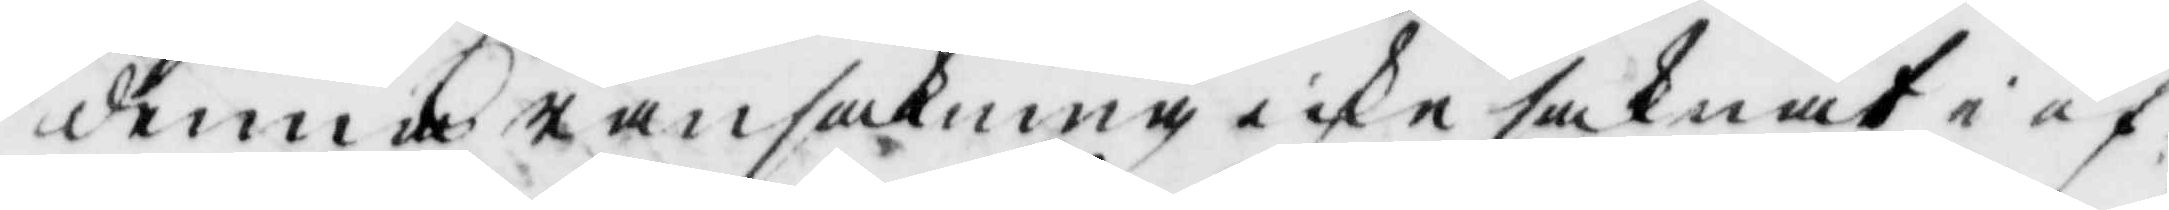denna ransakninge icks saknat i öf¬
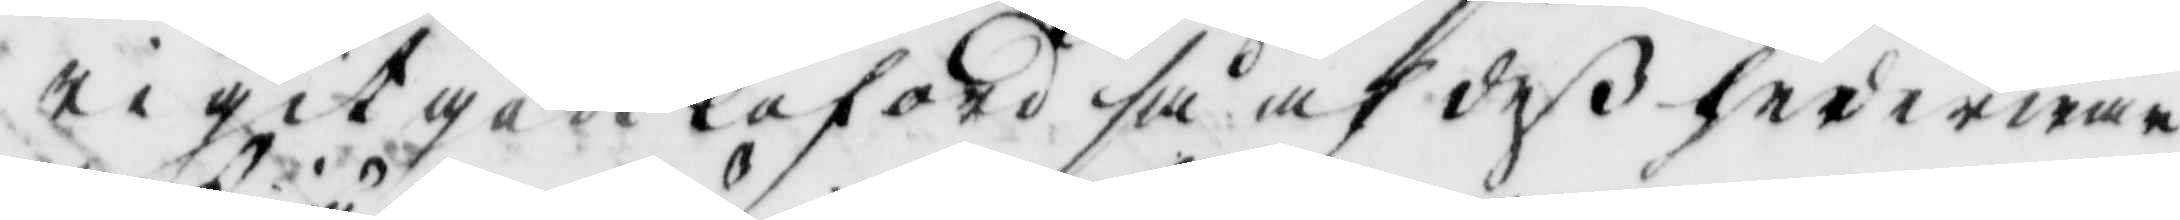rigit gådt loford så af deß hederwär¬
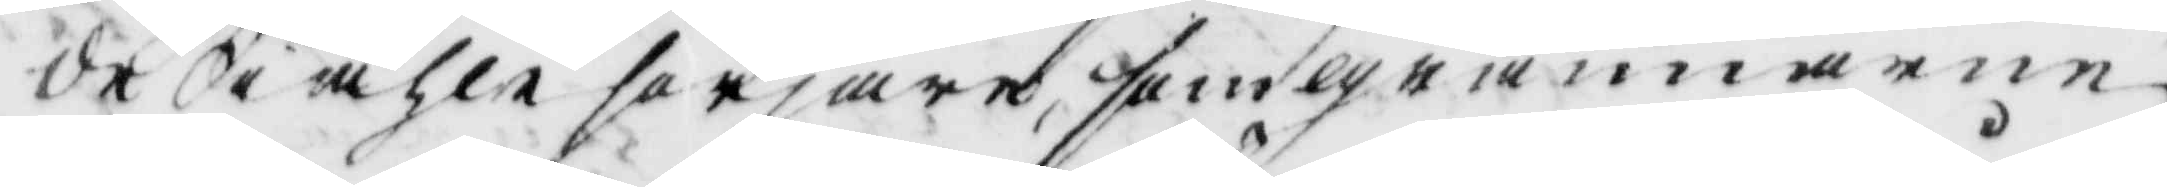de Siähle sörjare, som grannarne
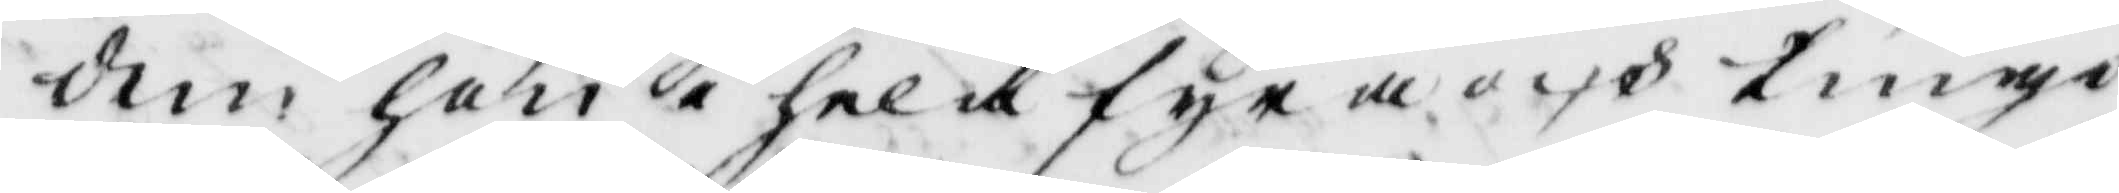dem hon i hela fyra och tiuge
